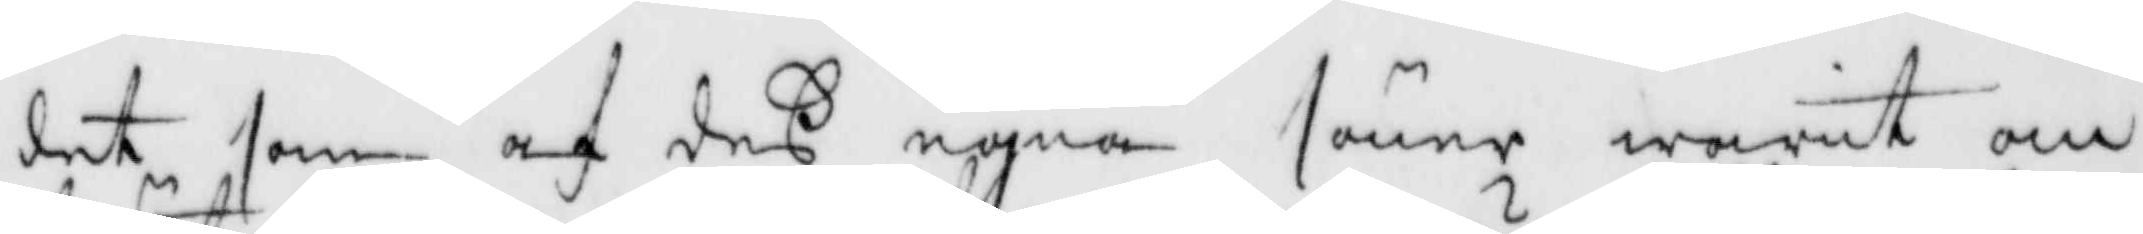det som af deß egna söner warit om¬
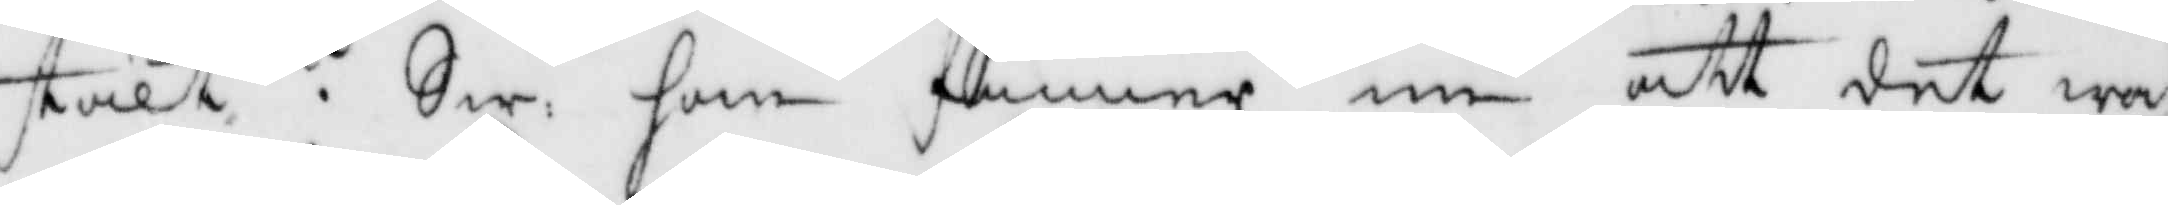stält? Sw: han gunnir nu att det wa¬
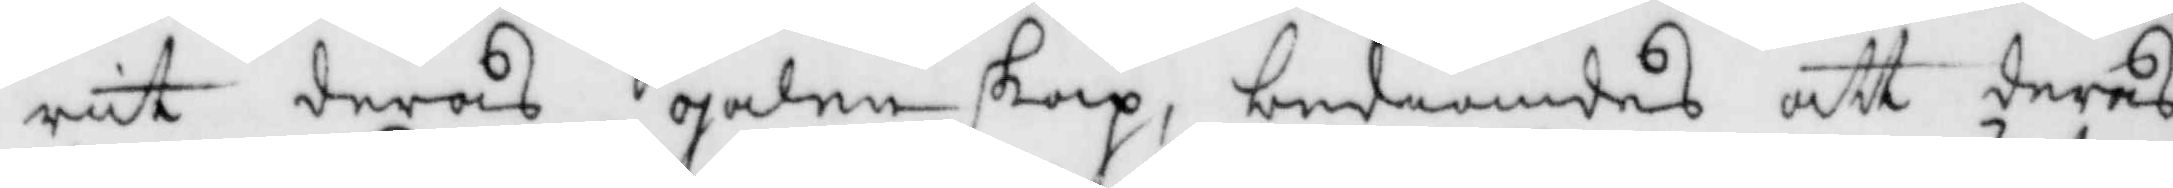rit deras galenskap, bediandes att deras
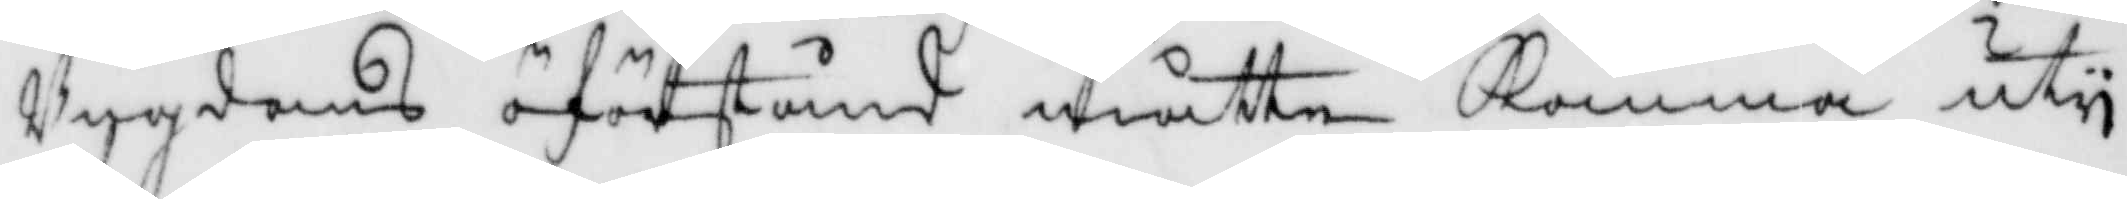Ungdoms öförstånd måtte Komma uty
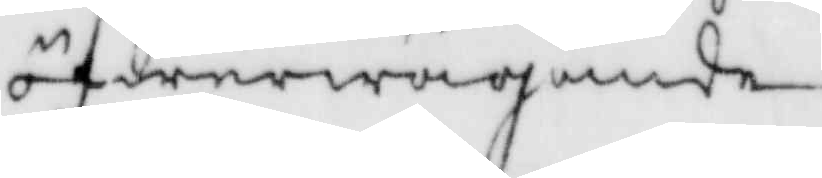öfwerwägande.
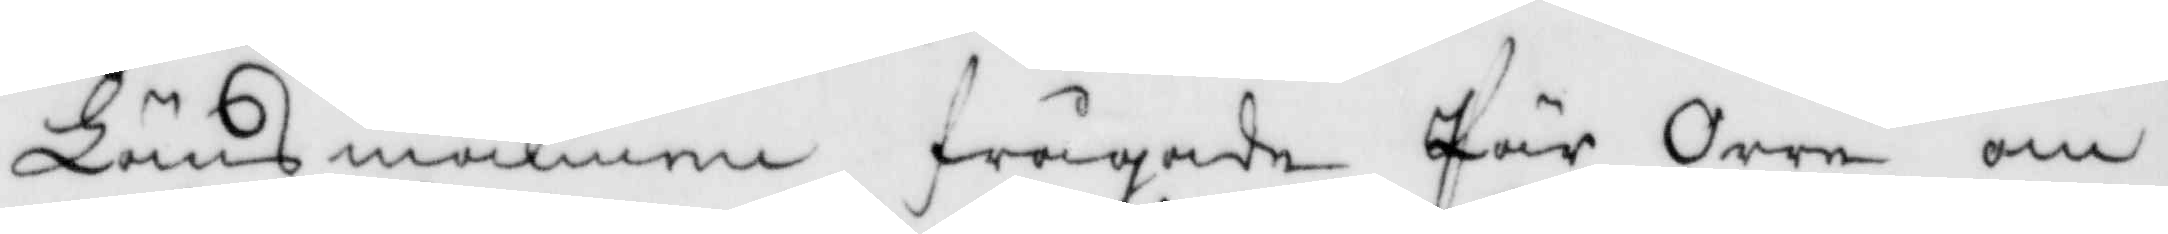Länsmannen frågade Pär Orre om
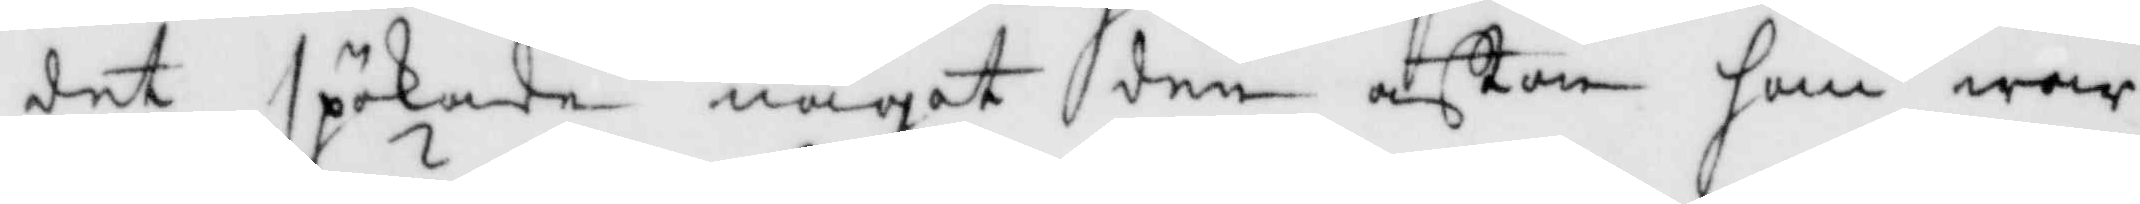det spökade någor den afton han war
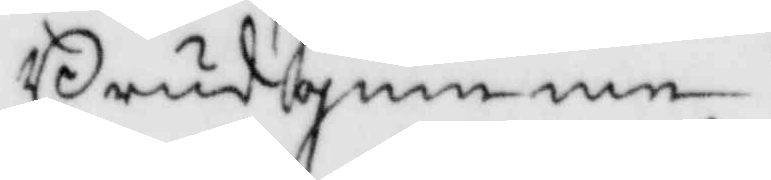Brudgumme?
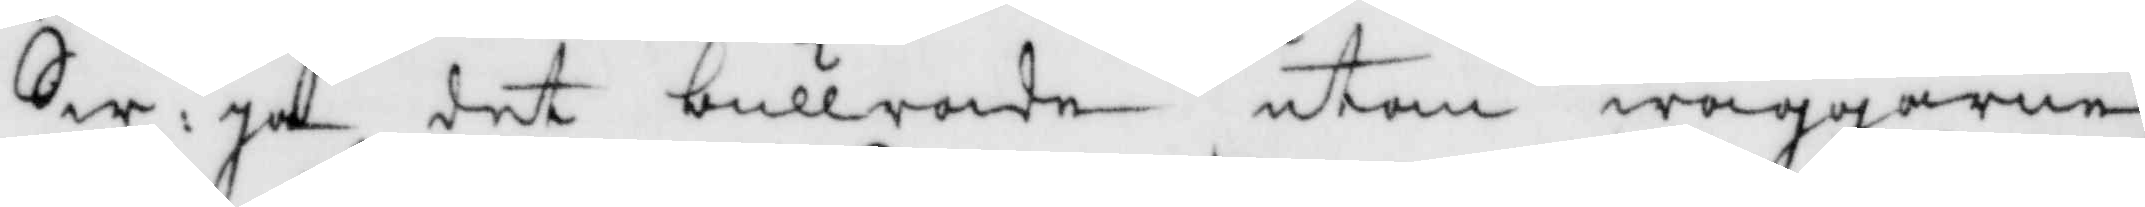Sw: Ja det bullrade utom wäggarne,
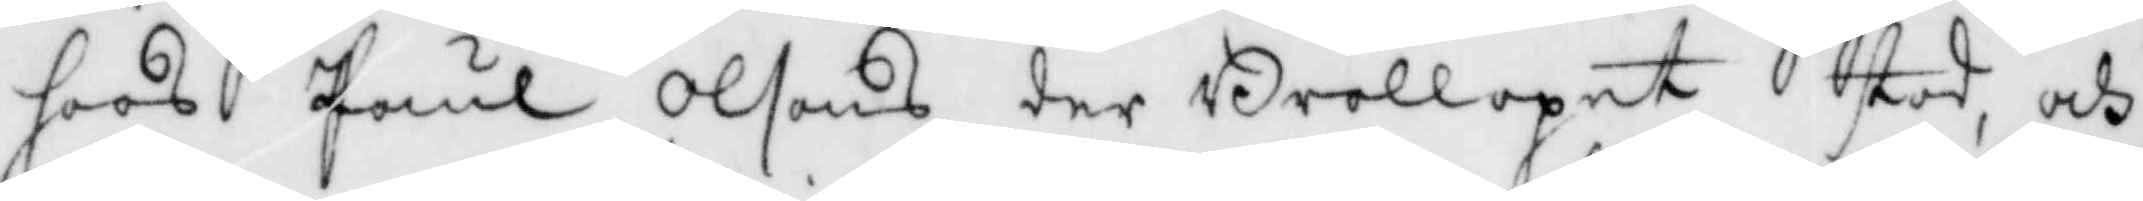hoos Paul Olsons der Brollopet stod, och
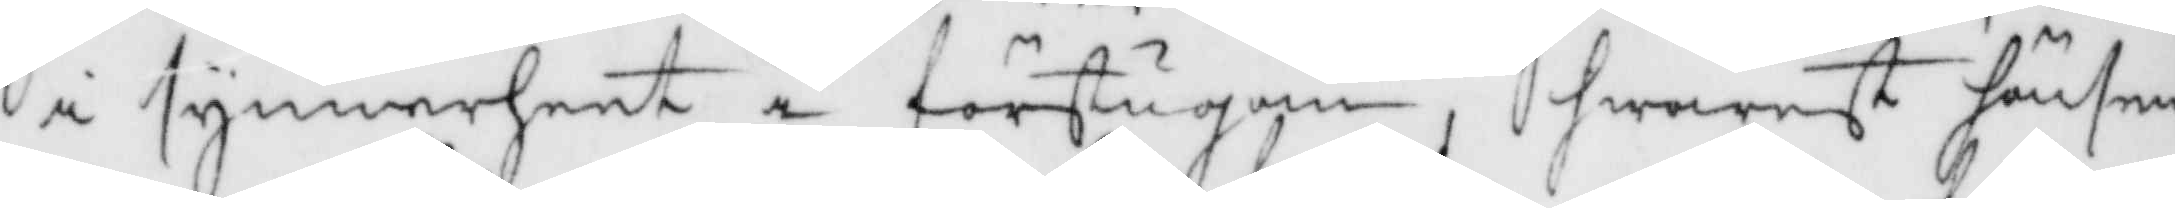i synnerheet i förstugan hwarest hönsen
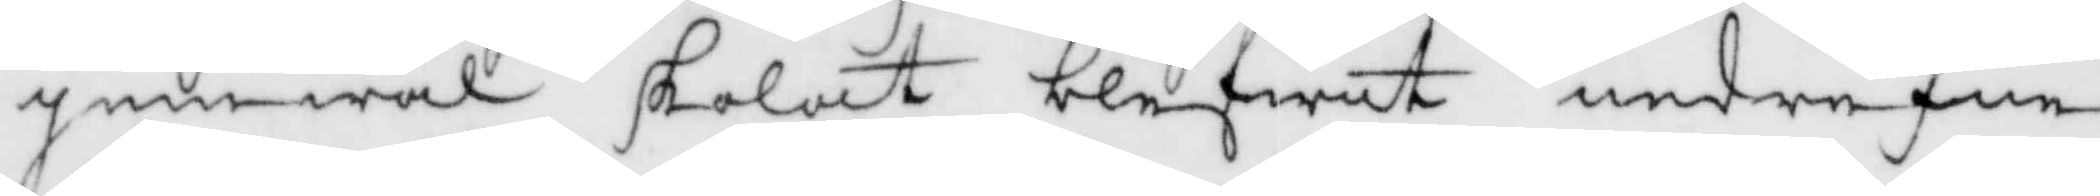jemwäl skolat blifwit nedrefne
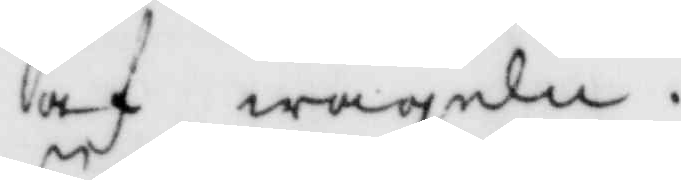af wageln.
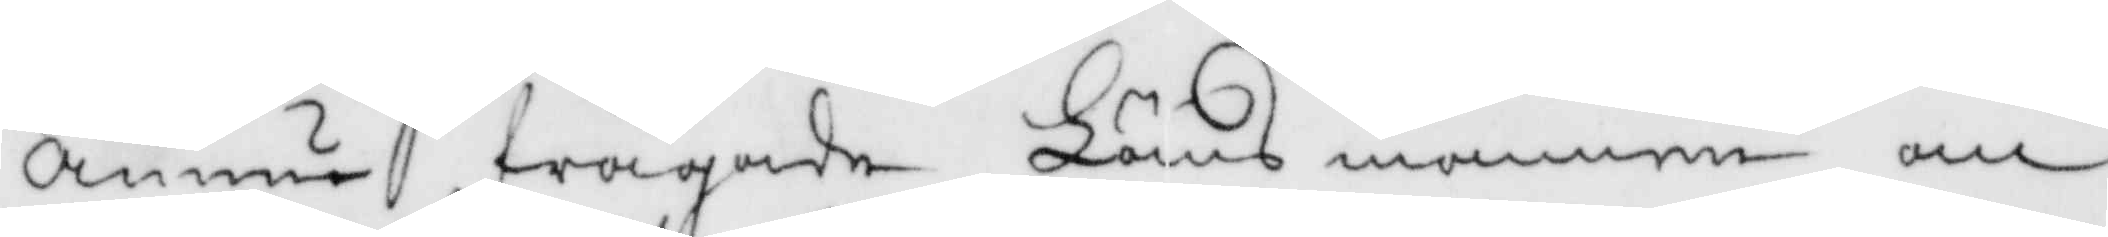Ännu frågade Länsmannen om
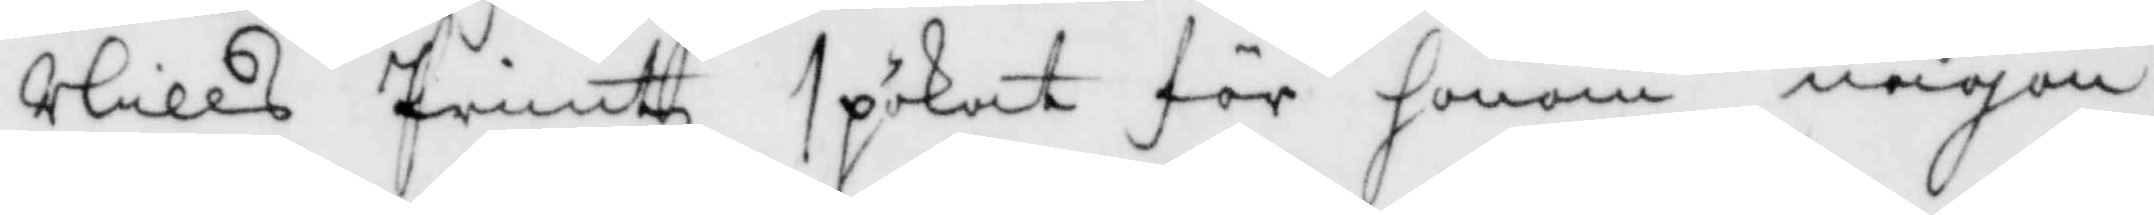Nills Printz spökat för honom någon
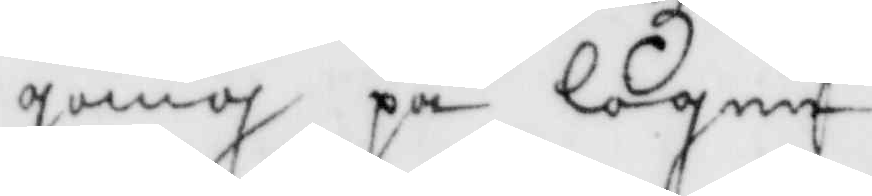gång på logen?
